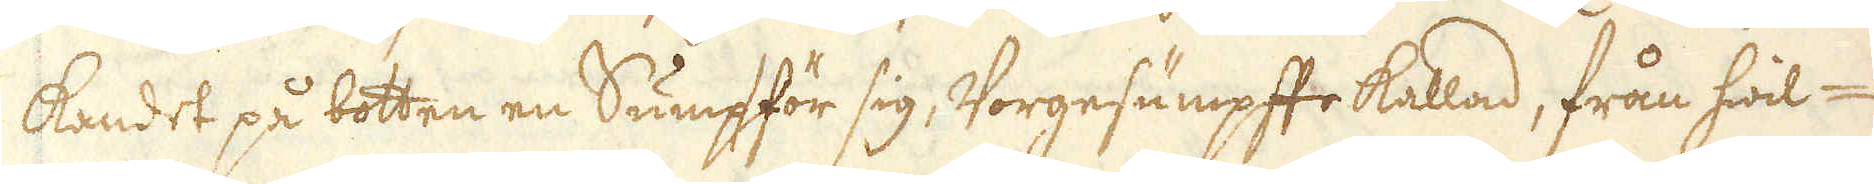kandet på botten en Sump för sig, Vorgesumpffe kallad, från hwil-
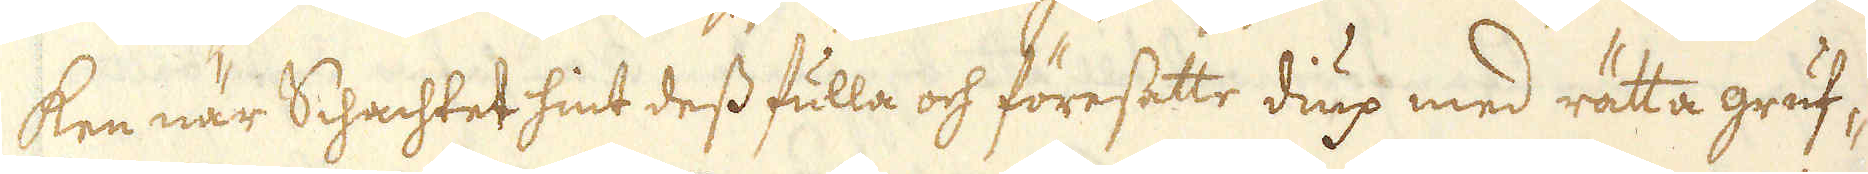ken när Schachtet hint dess fulla och föresatte diup med rätta gruf-
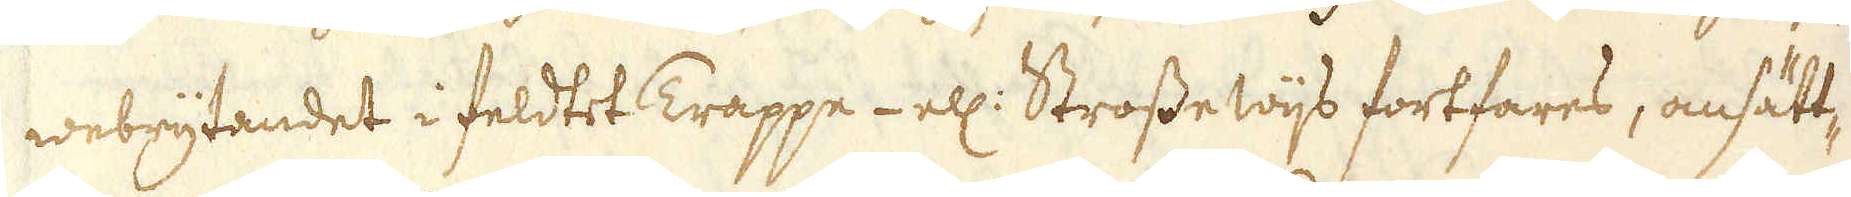webrytandet i feldtet Trappe- ell: Strossewijs fortfares, ansätt-
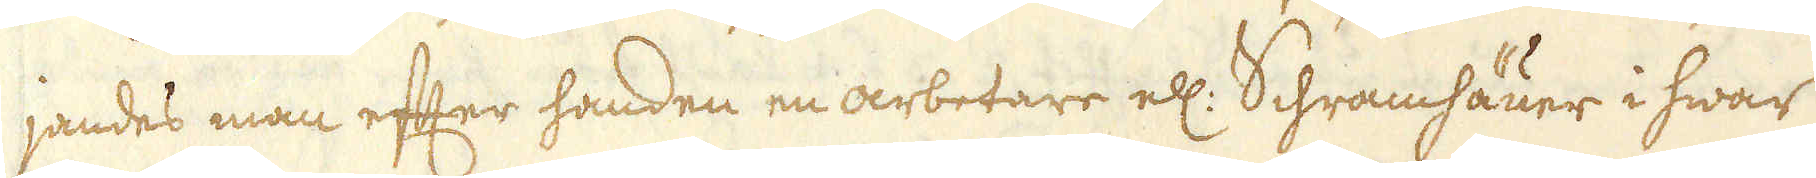jandes man efter handen en arbetare ell: Schramhäuer i hwar
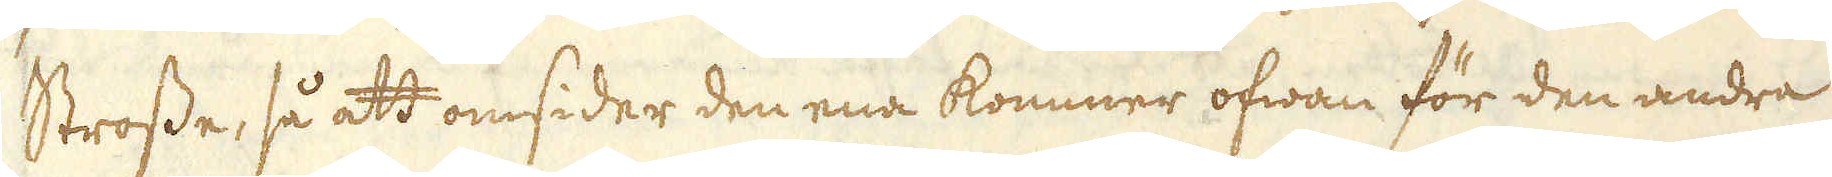Strosse, så att omsider den ena kommer ofwan för den andra
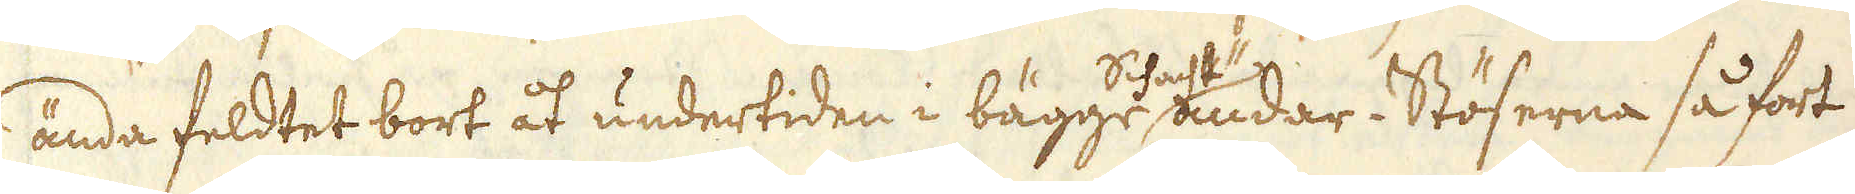ända feldtet bort åt undertiden i bägge Schachtändar-Stöserna så fort
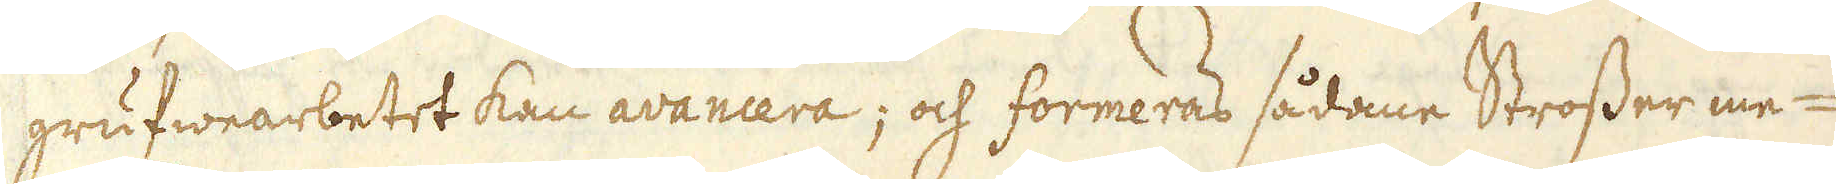grufwearbetet kan avancera; och formeras sådane Strosser me-
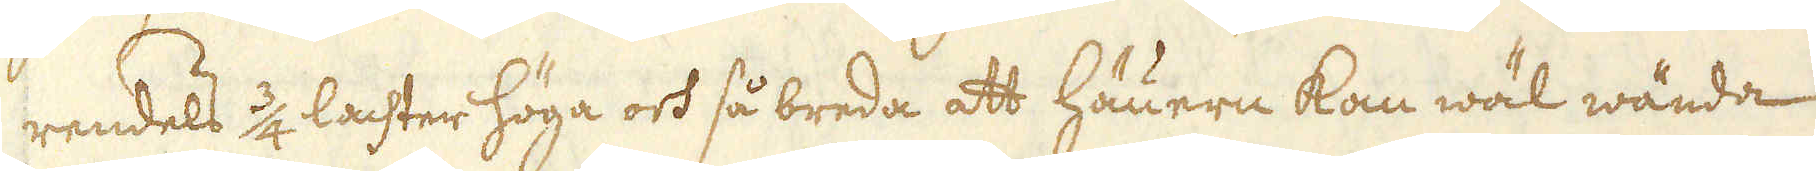rendels 3/4 lachter höga och så breda att häuern kan wäl wända
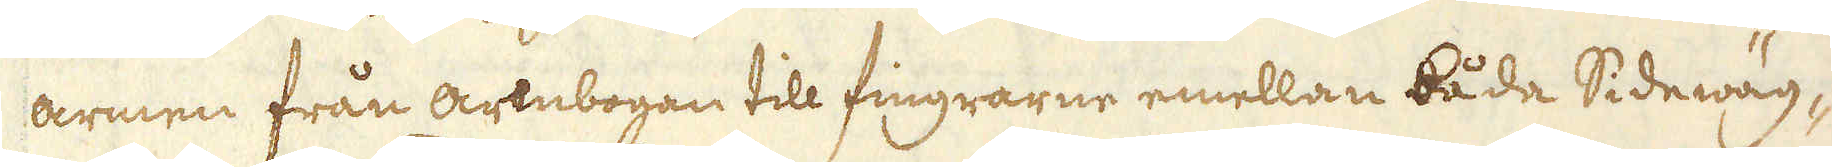armen från armbogan till fingrarne emellan båda Sidewäg-
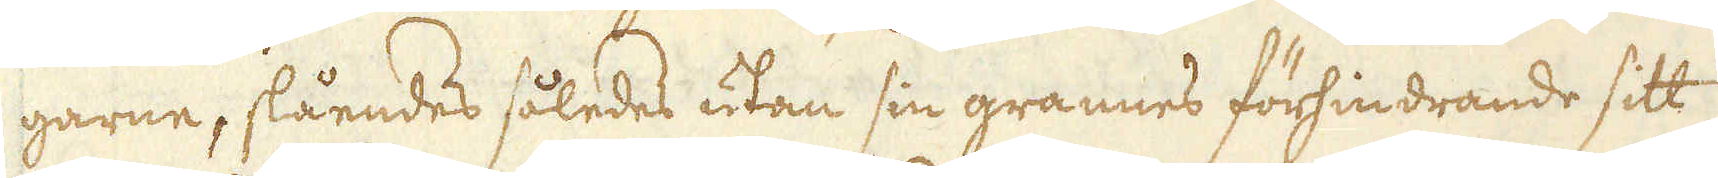garne, slåendes således utan sin grannes förhindrande sitt
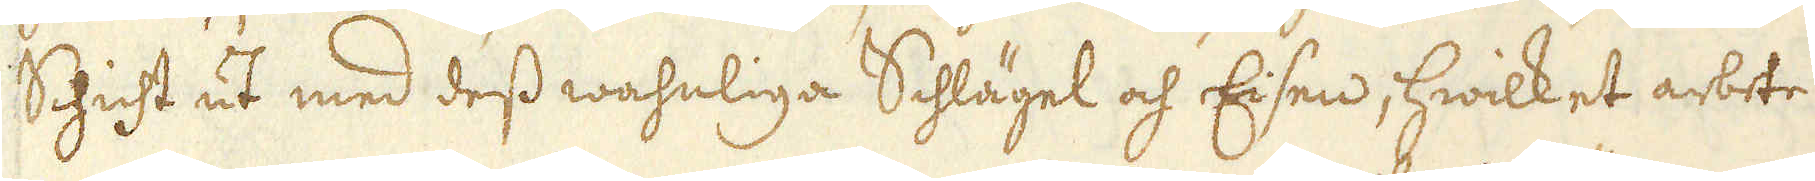Schicht ut med dess wahnliga Schlägel och Eisen, hwilket arbete
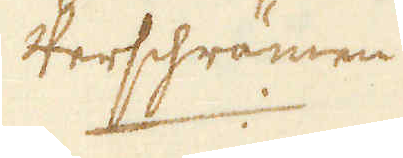Verschrämen
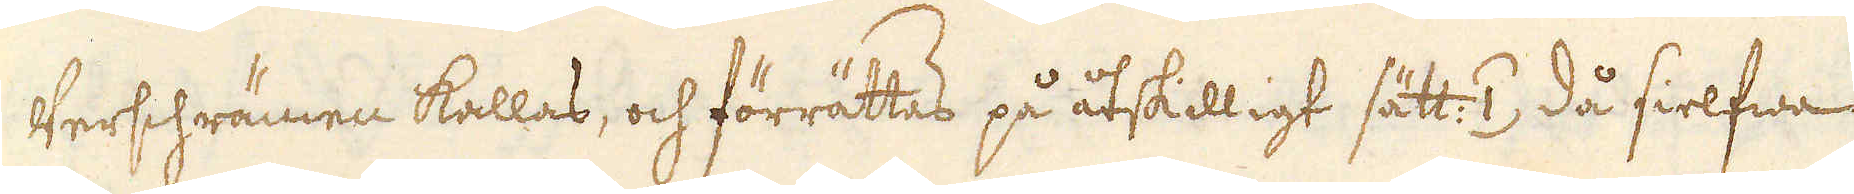Verschrämen kallas, och förrättas på åtskilligt sätt: /1/ då sielfwa
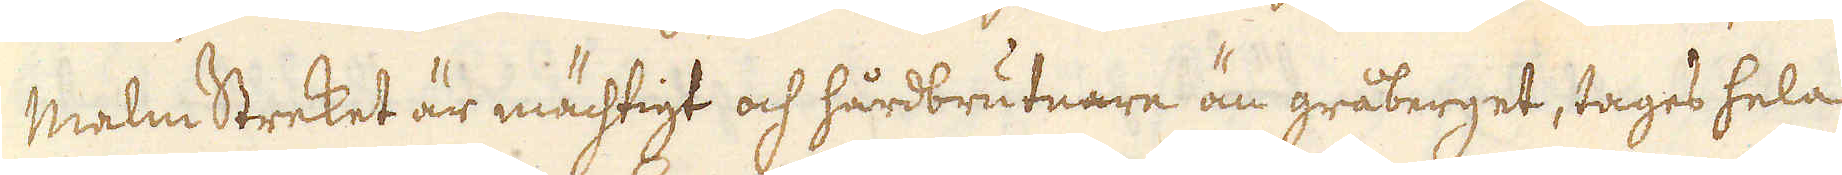malm Streket är mächtigt och hårdbrutnare än gråberget, tages hela
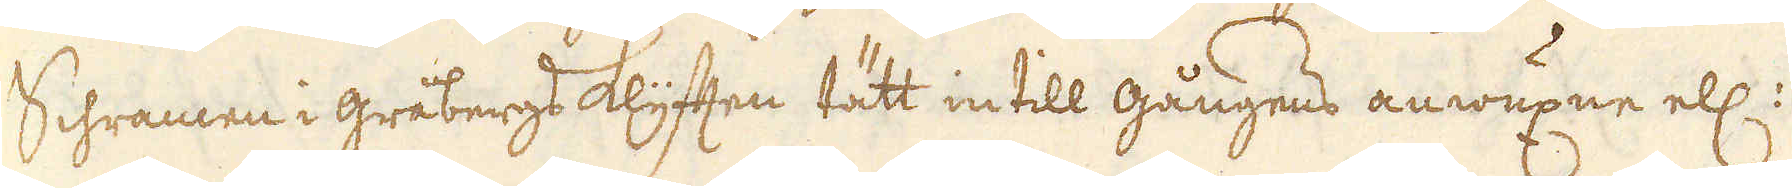Schramen i gråbergsklyften tätt intill gångens anwuxne ell:
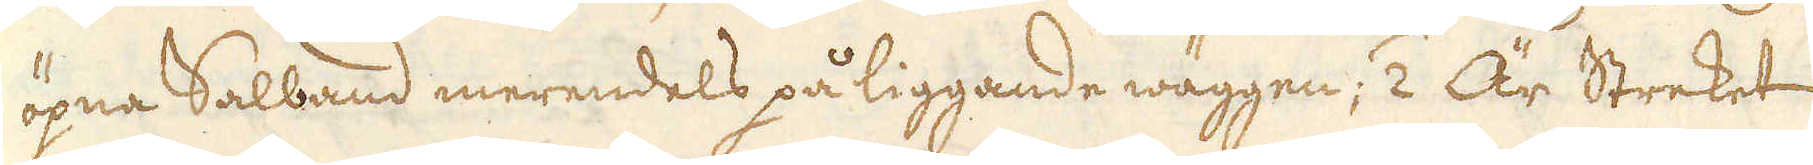öpna Salband merendels på liggande wäggen; /2 Är Streket
